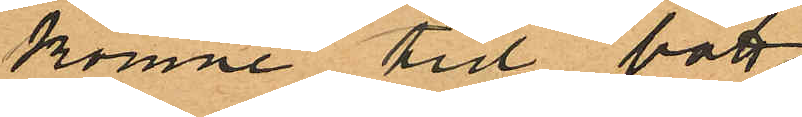komne tid bott
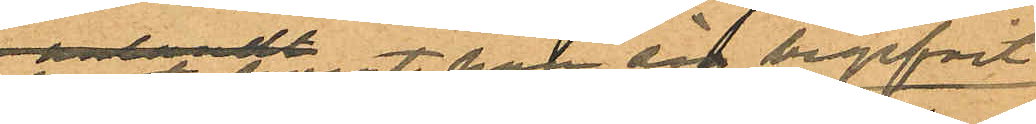samt hvart han sig begifvit
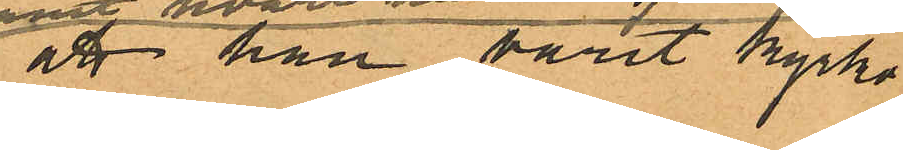att han varit kyrko¬
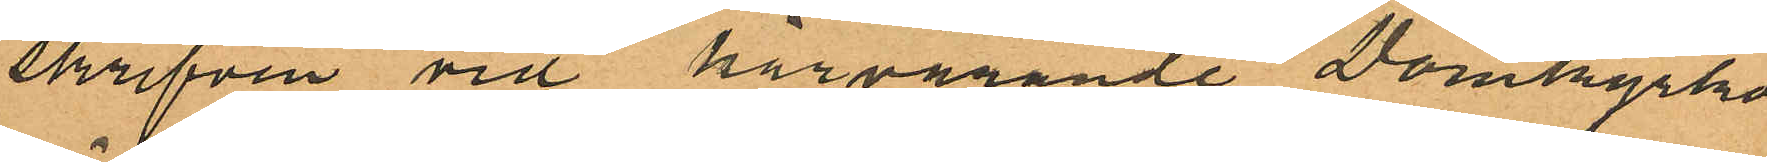skrifven vid härvarande Domkyrko
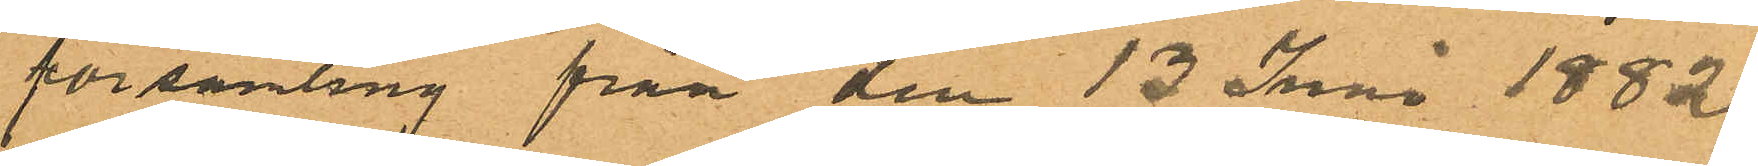församling från den 13 Juni 1882.
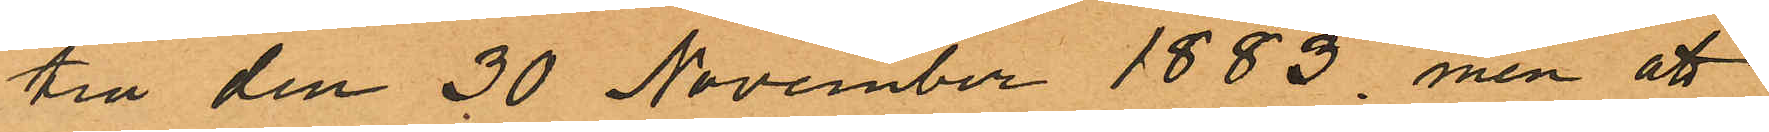till den 30 November 1883, men att
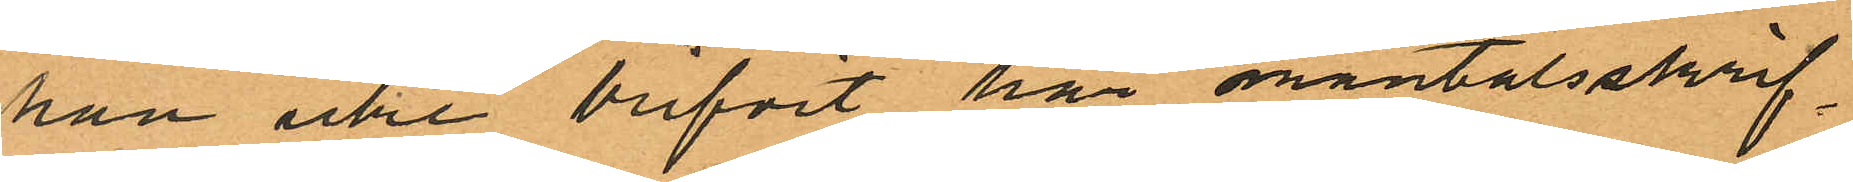han icke blifvit här mantalsskrif¬
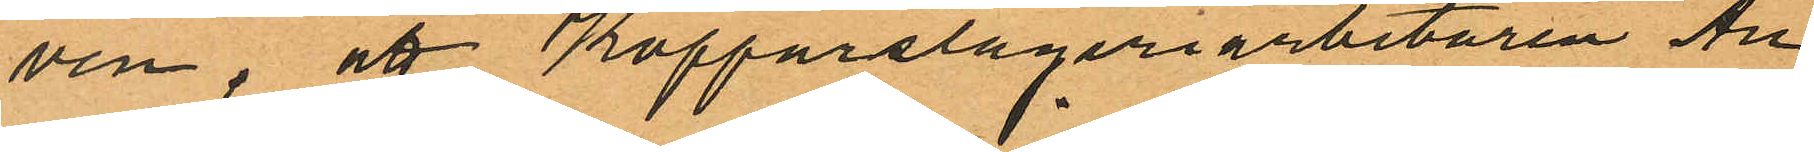ven; att Kopparslageriarbetaren Au¬
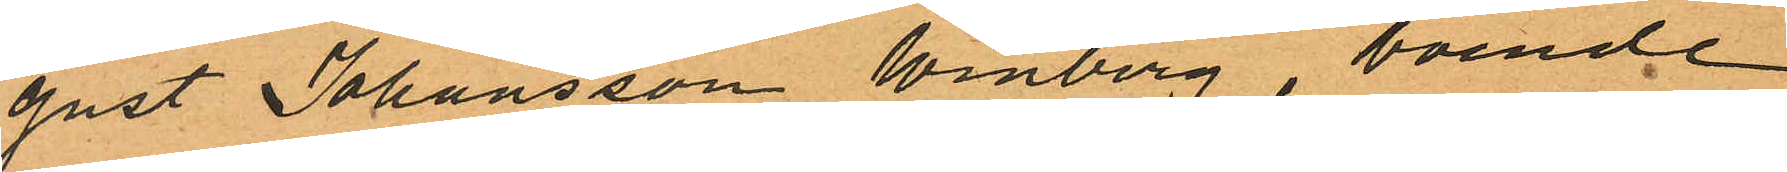gust Johansson Winberg, boende
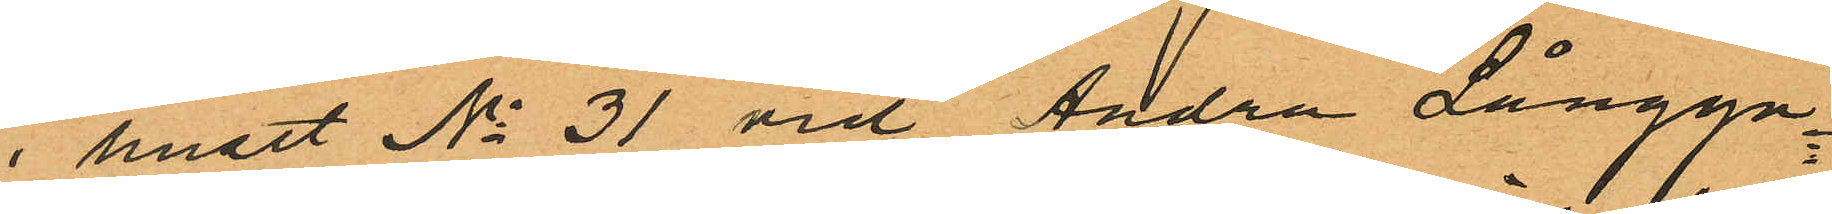i huset No 31 vid Andra Långga¬
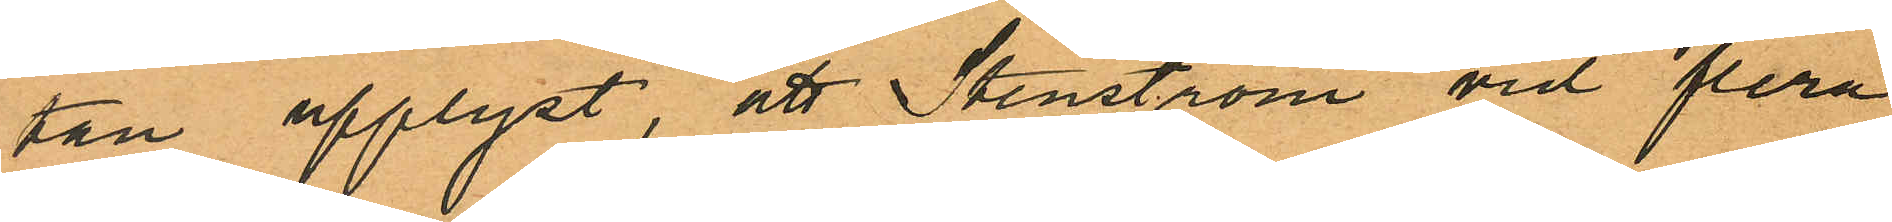tan upplyst, att Stenström vid flera
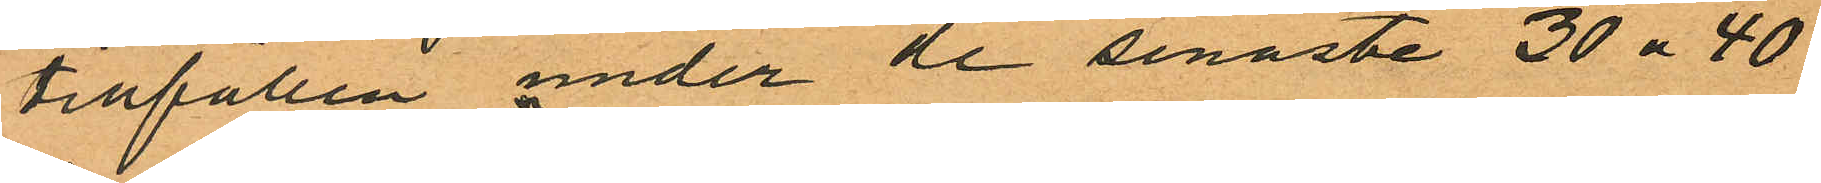tillfällen under de senaste 30 a 40
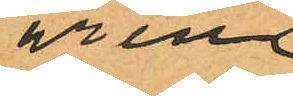åren
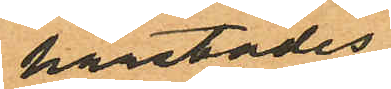härstädes
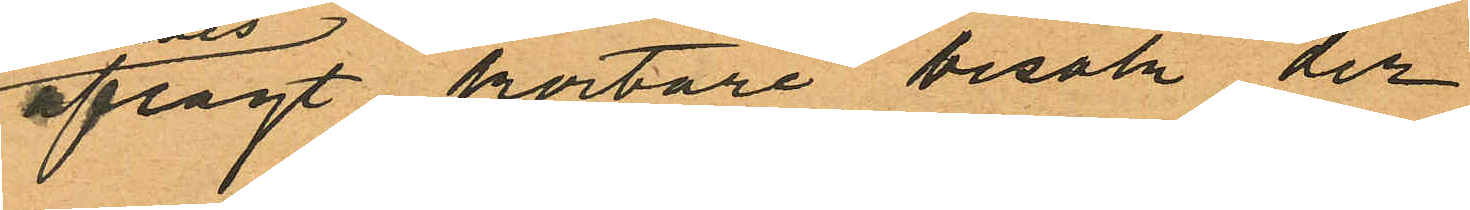aflagt kortare besök der
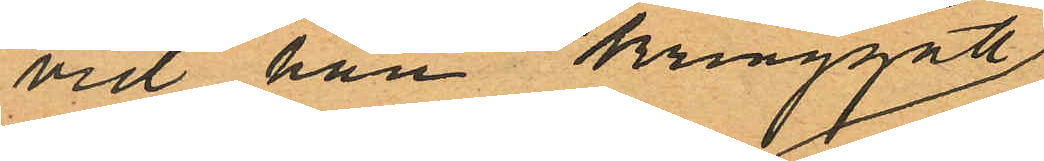vid han kringgått
